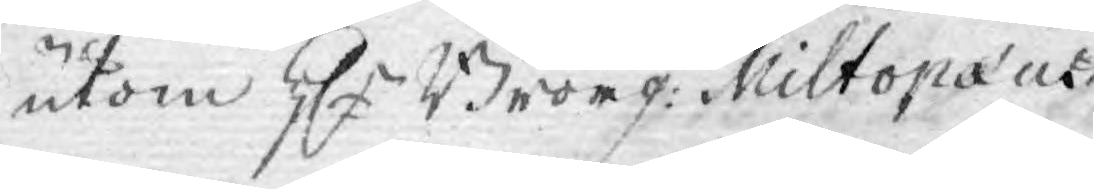utom Hr Borgm: Miltopæus
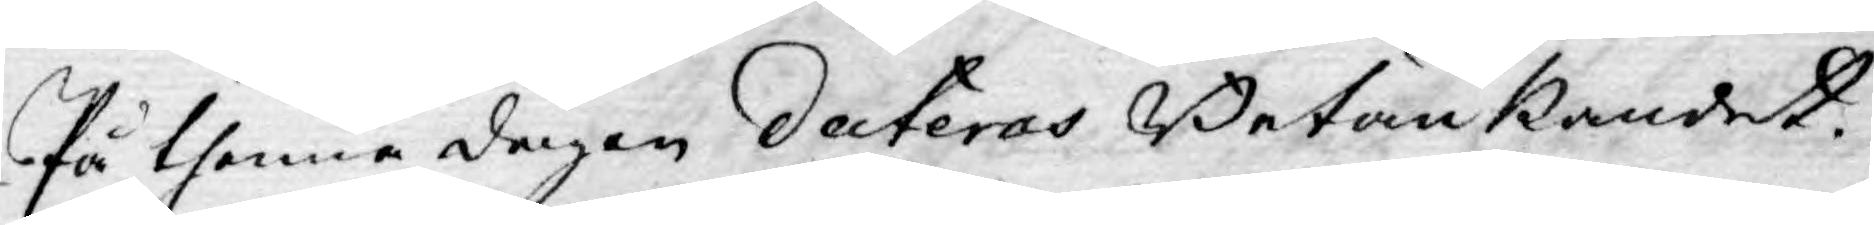På thenne dagen dateras Betänkandet.
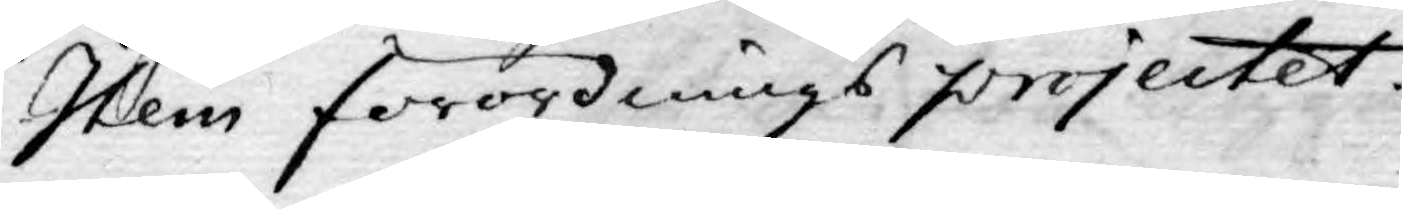Item förordnings projectet.
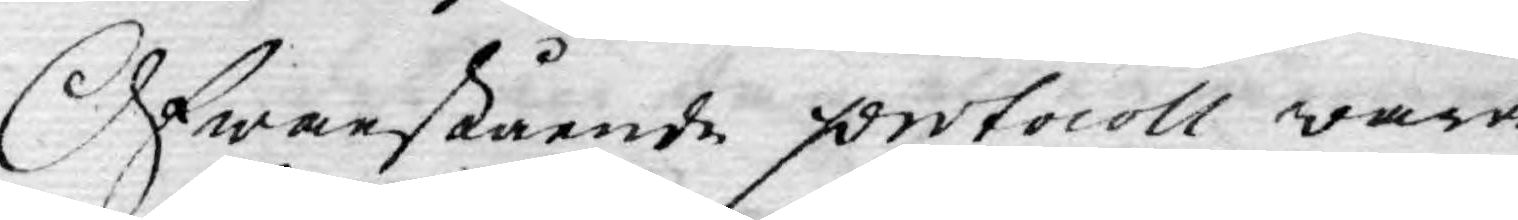Ofwanstående protocoll wara
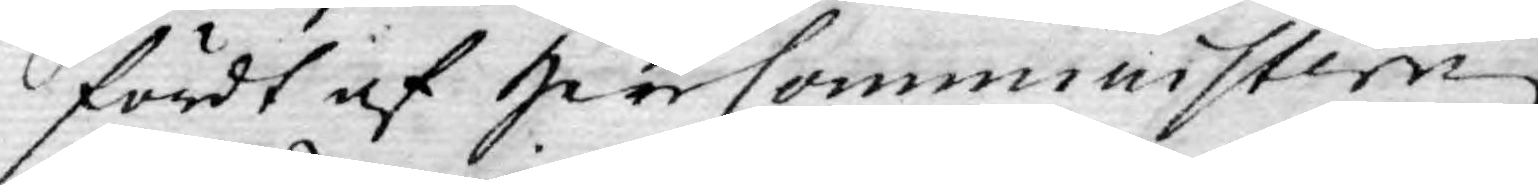fördt af herr Comministern
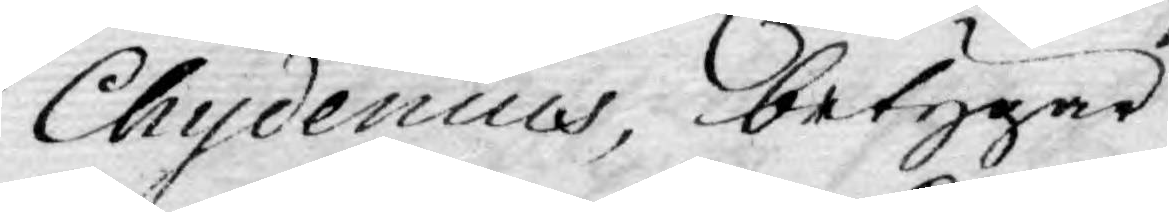Chydenius, betygar
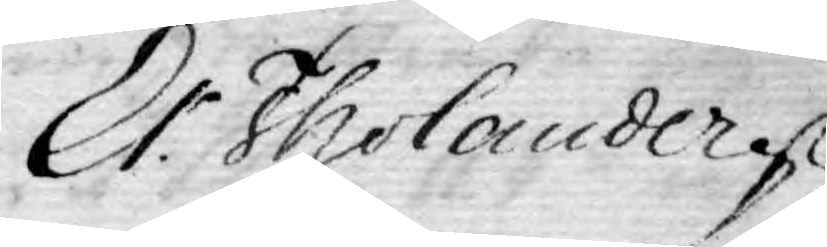Er. Tholander
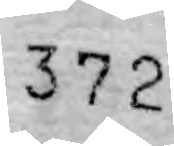372
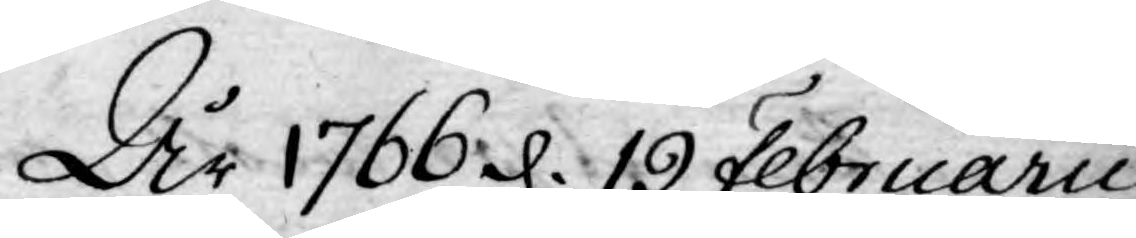År 1766 d. 19 Februarii
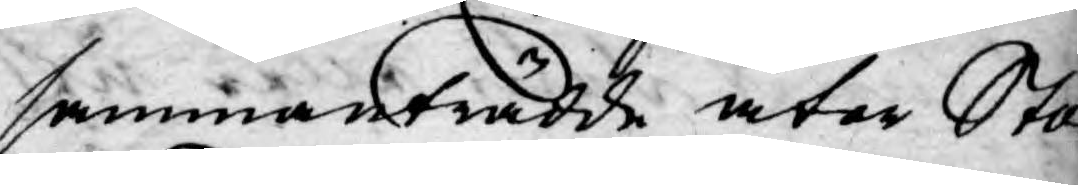sammanträdde åter Sto¬
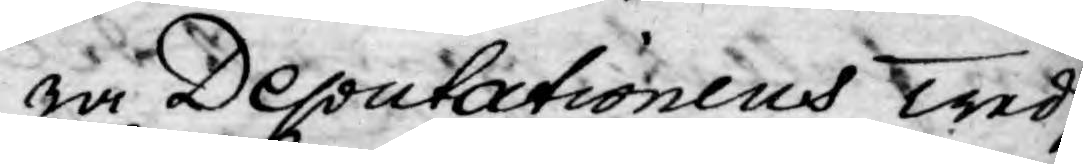ra Deputationens Tredj.
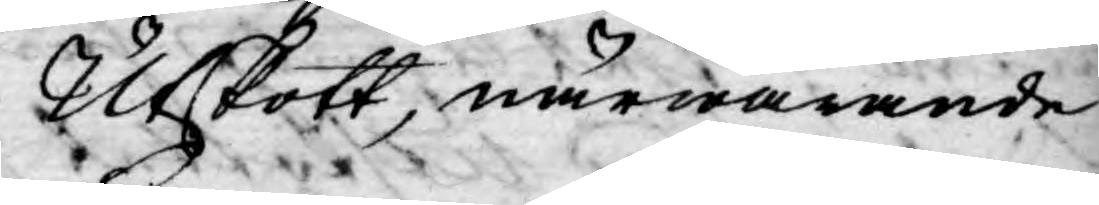Utskott, närwarande	
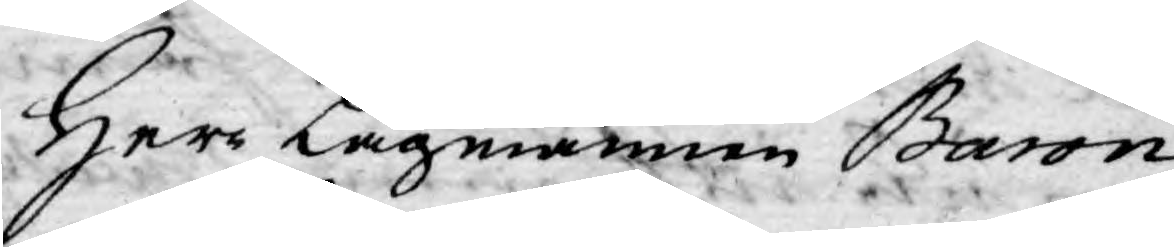Herr Lagmannen Baron
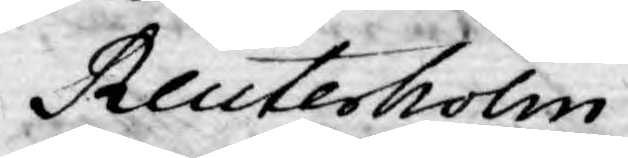Reuterholm
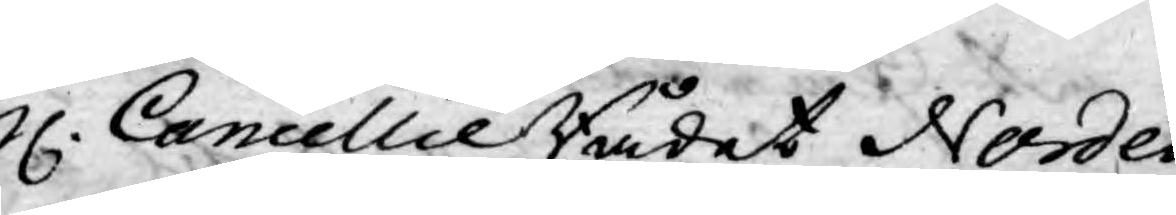H. Cancellie Rådet Norden¬
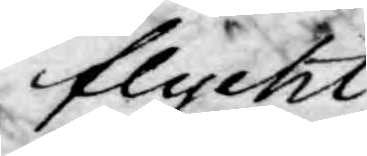flycht
